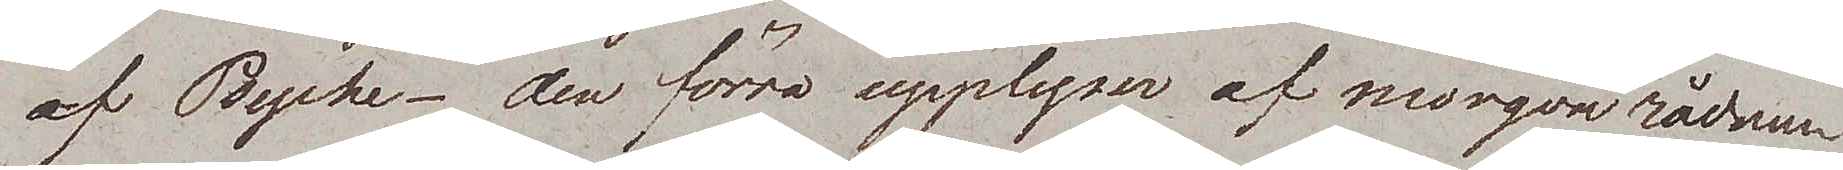af Psyche – den förra upplyses af morgonrådnan
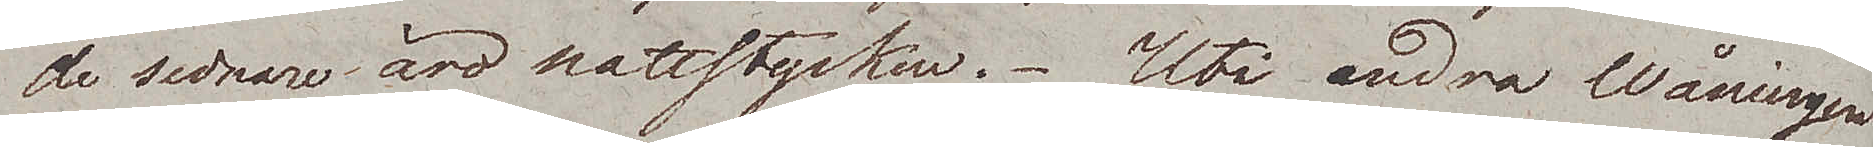de sednare äro nattstycken. Uti andra Wåningen
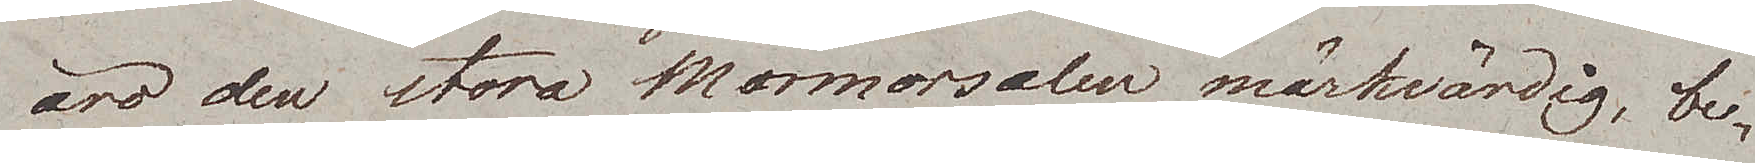äro den stora Marmorsalen märkvärdig, be¬
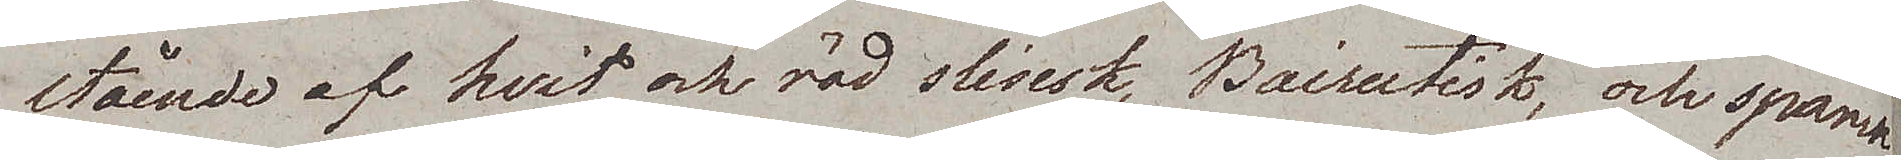stående af hvit och röd slesisk, Baireutisk, och spansk
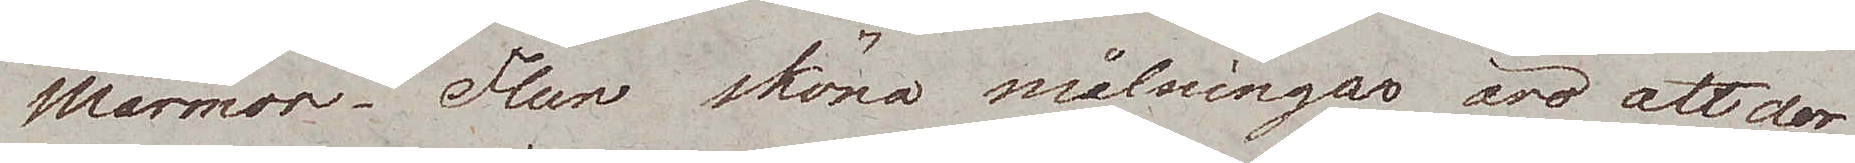Marmor. Flera sköna målningar äro att der
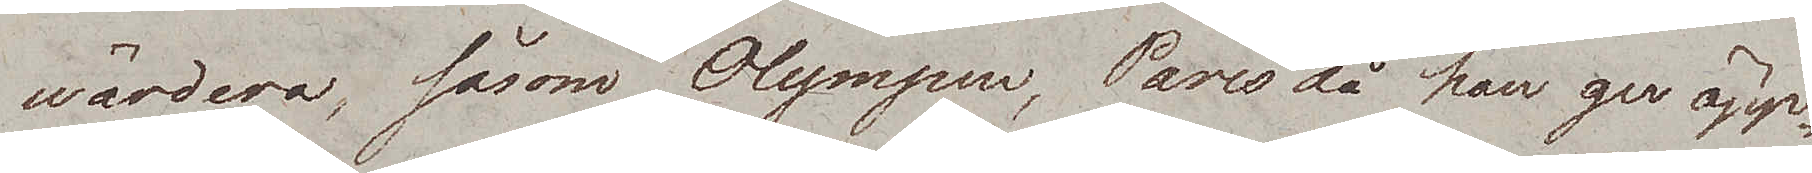wärdera, såsom Olympen, Paris då han ger äpp¬
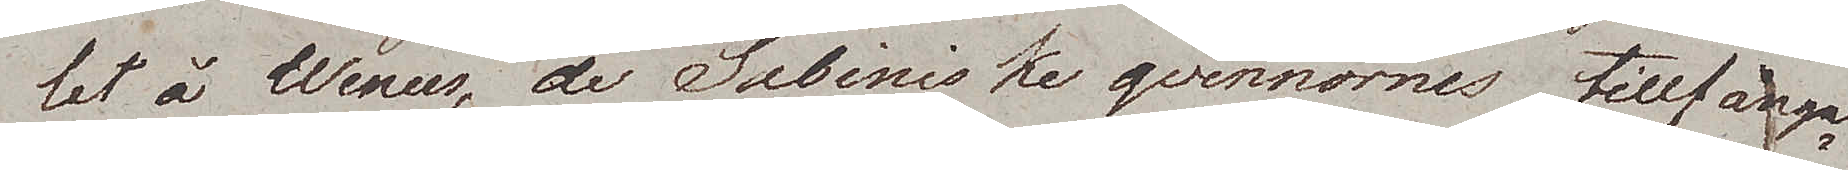let å Wenus, de Sabiniske qvinnornes tillfånga¬
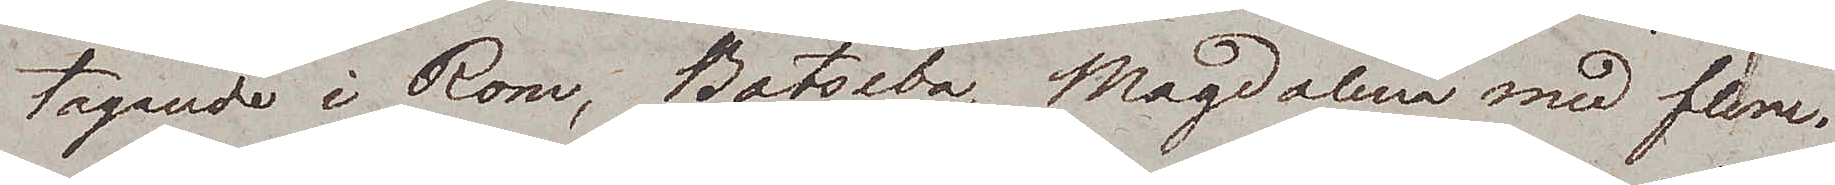tagande i Rom, Batseba, Magdalena med flere.
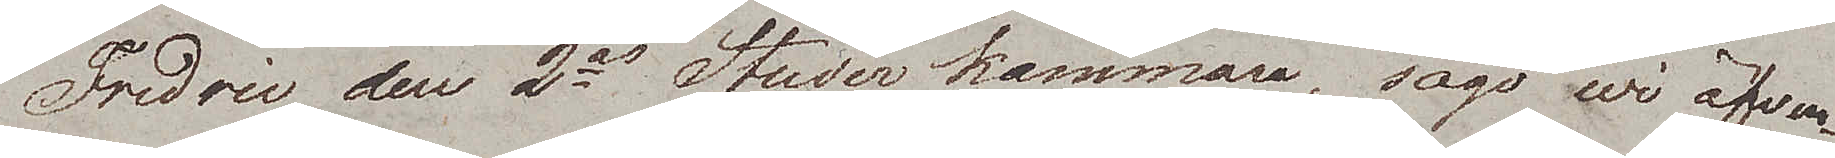Fredric den 2es Studerkammare, sågo wi äfven.
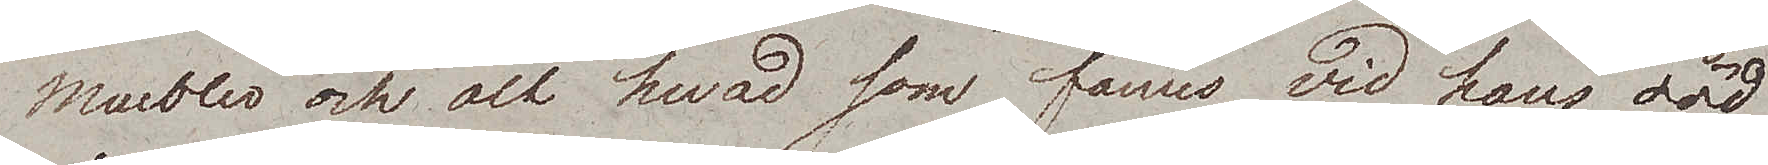Meubler och alt hvad som fanns vid hans död
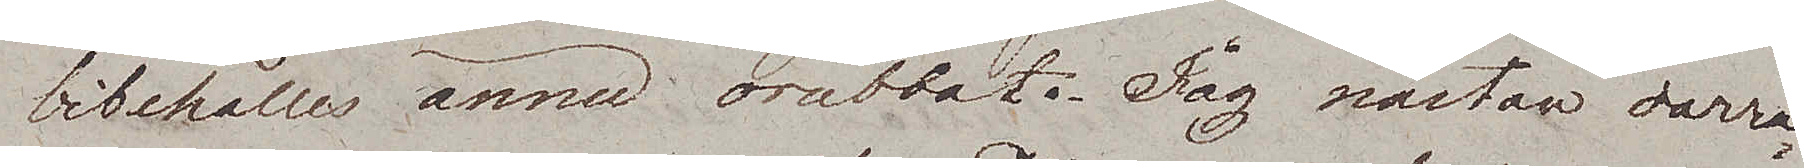bibehålles ännu orubbat. Jag nästan darra¬
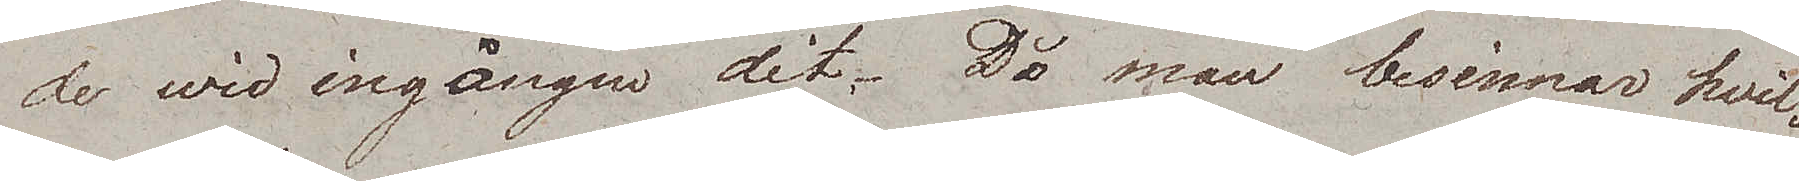de wid ingången dit. Då man besinnar hvil
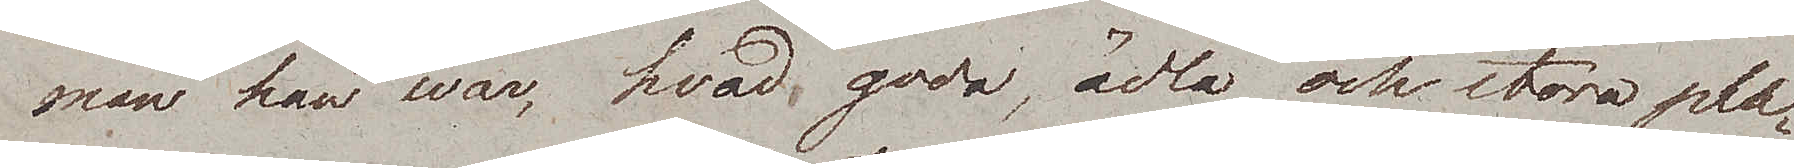man han war, hvad goda, ädla och stora pla¬
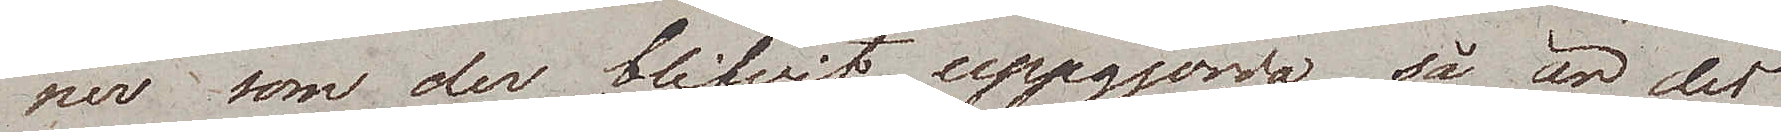ner som der blifvit uppgjorda så är det
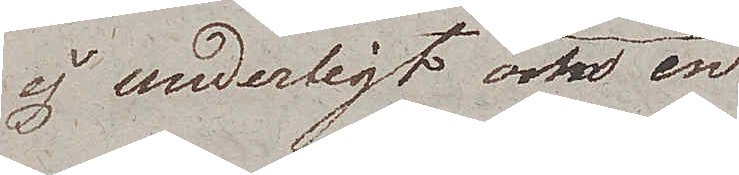ej underligt om en
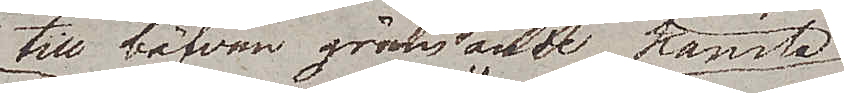till bäfvan gränsande känsla
